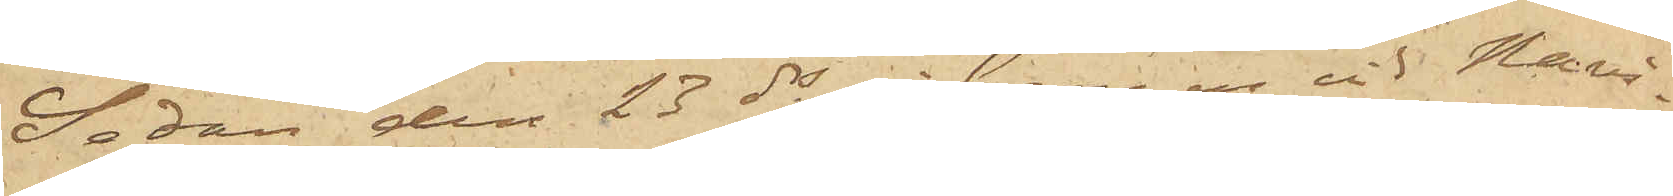Sedan den 23 ds i bergen vid Navi¬
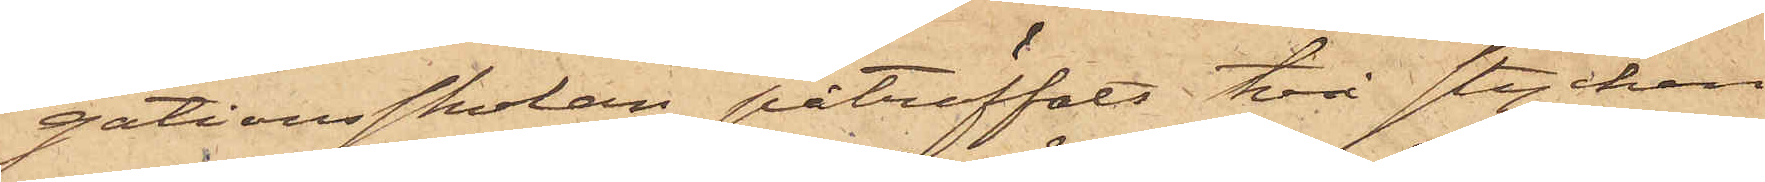gationsskolan påträffats två stycken
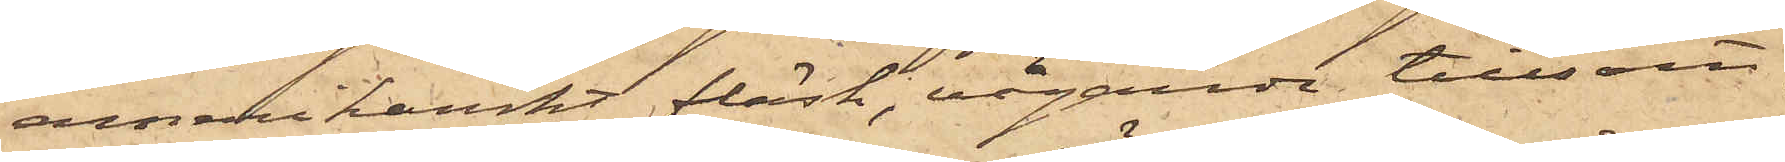amerikankt fläsk, vägande tillsam¬
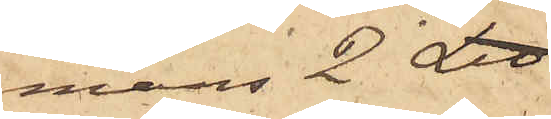mans 2 L℔
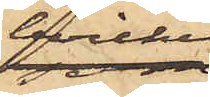hvilket
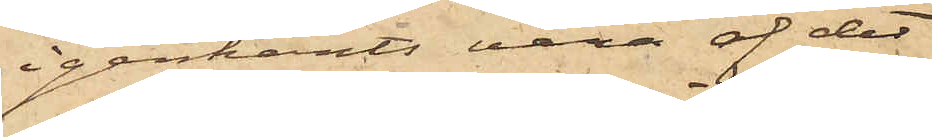igenkänts vara af det
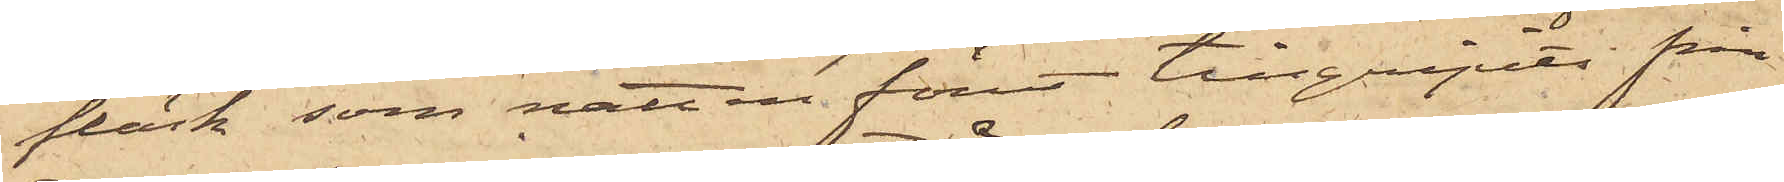fläsk, som natten förut tillgripits från
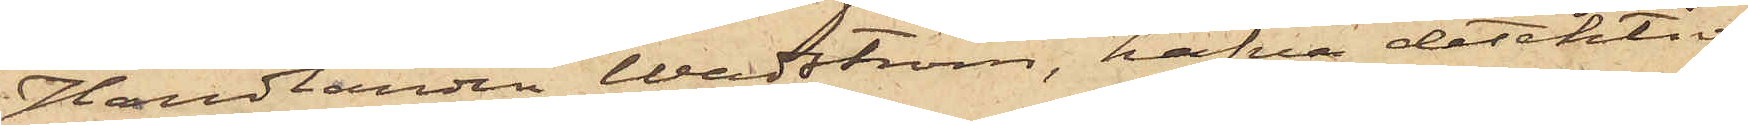Handlanden Wadström, hafva detektiv¬
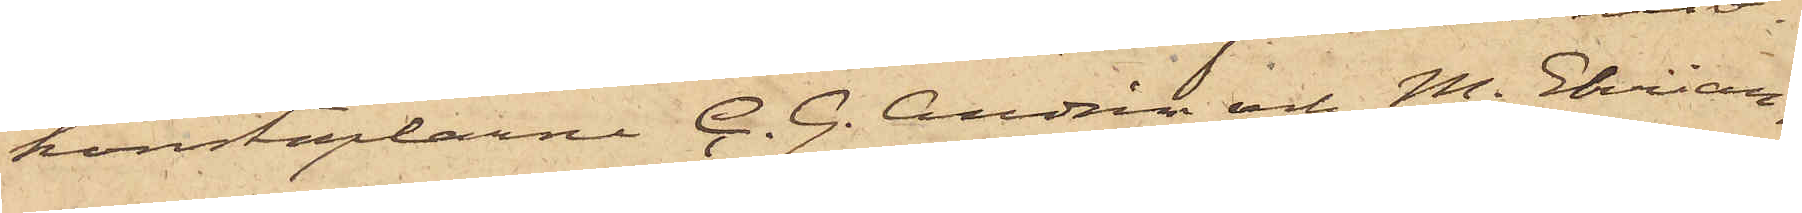konstaplarne C. G. Andrén och M. Ehrian¬
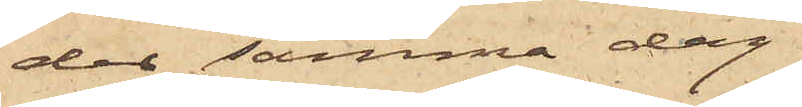der samma dag
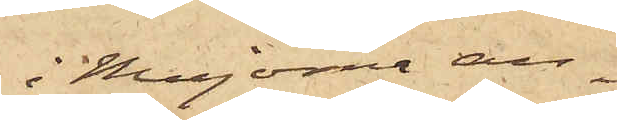i Majorna an¬
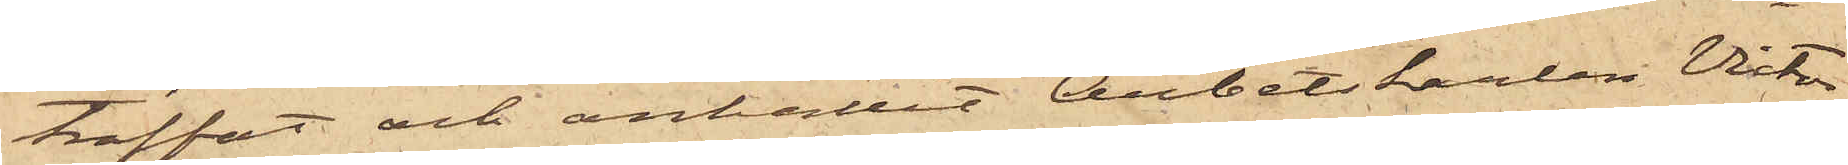träffat och anhållit Arbetskarlen Victor
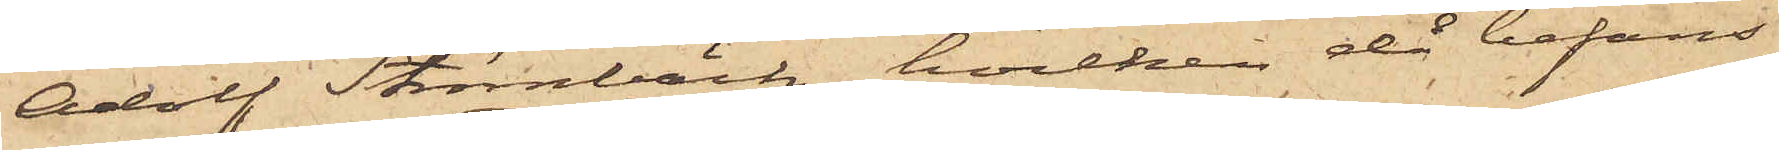Adolf Strömbäck, hvilken då befans
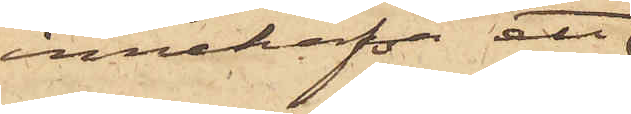innehafva ett
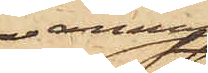annat
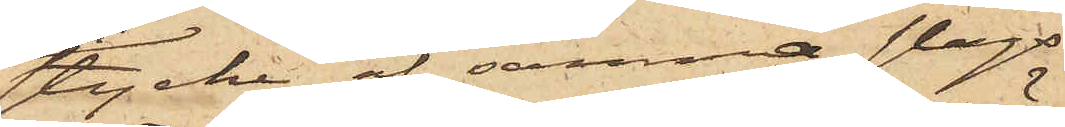stycke af samma slags
